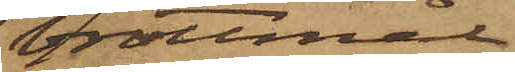brottmål
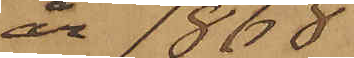år 1868.
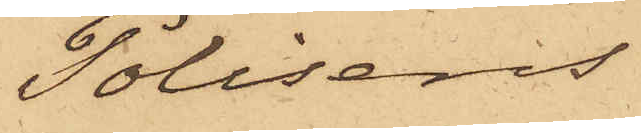Polisens
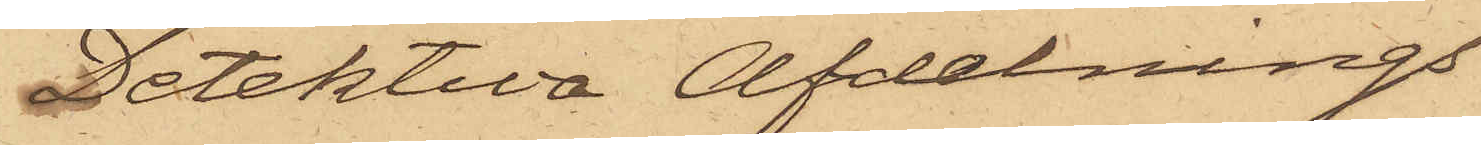Detektiva Afdelnings
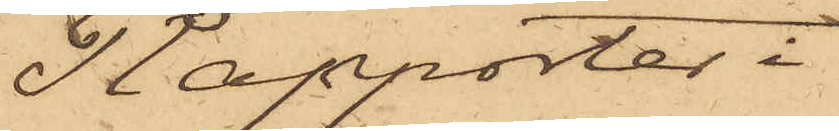Rapporter i
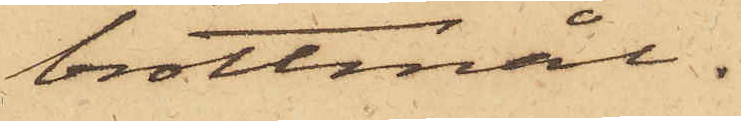brottmål.
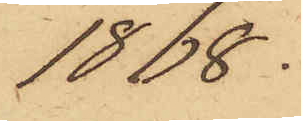1868.
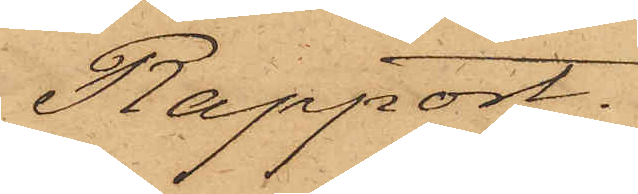Rapport.
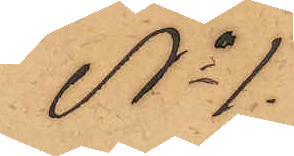No 1.
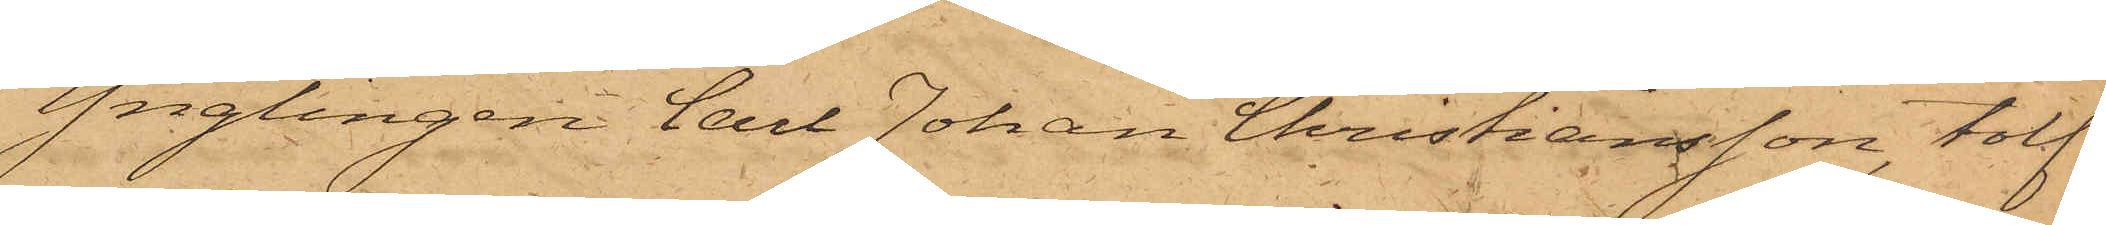Ynglingen Carl Johan Christiansson, tolf
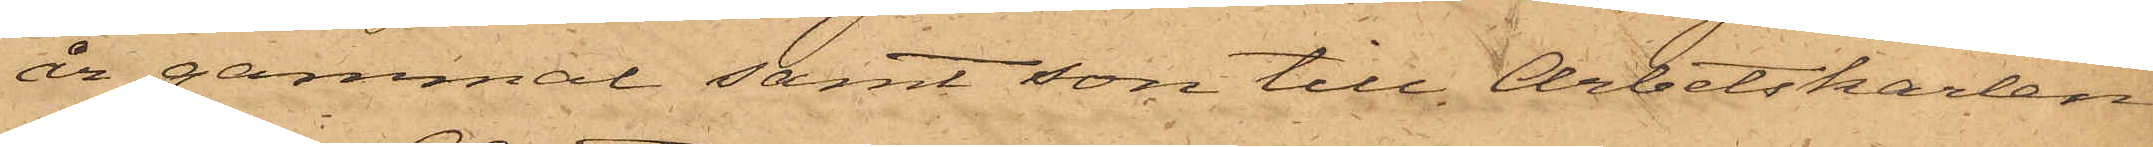år gammal samt son till Arbetskarlen
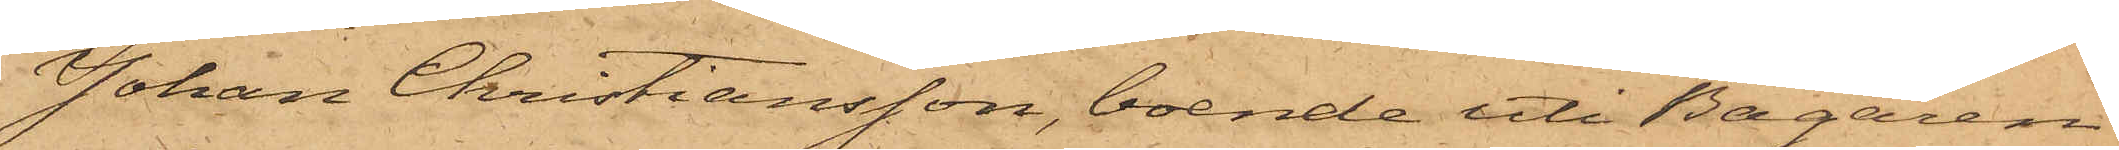Johan Christiansson, boende uti Bagaren
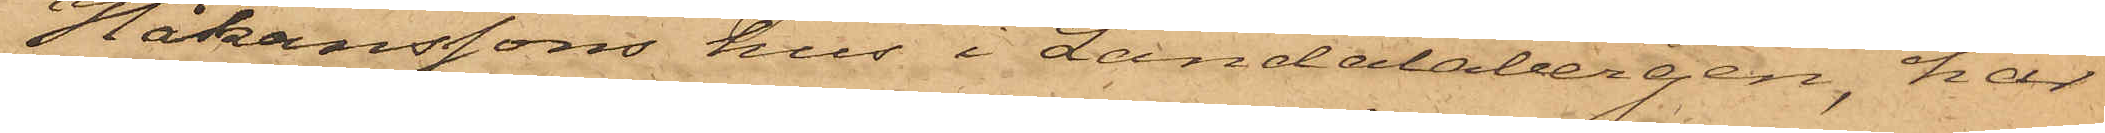Håkanssons hus i Landalabergen, har
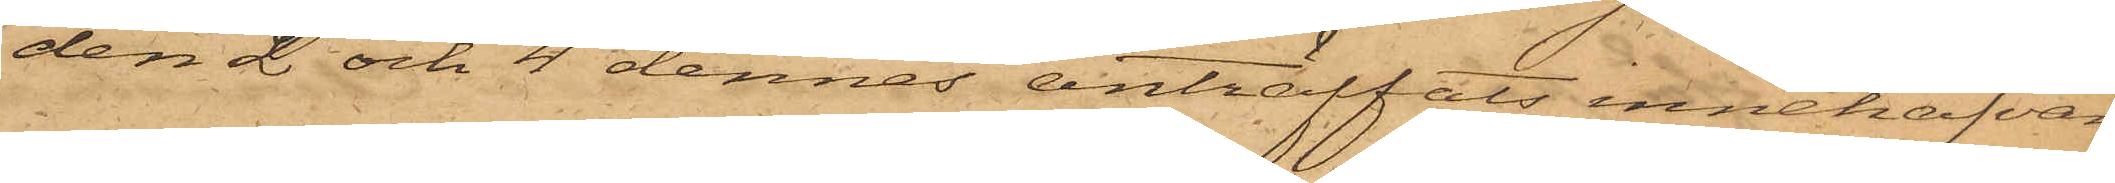den 2 och 4 dennes anträffats innehafvan¬
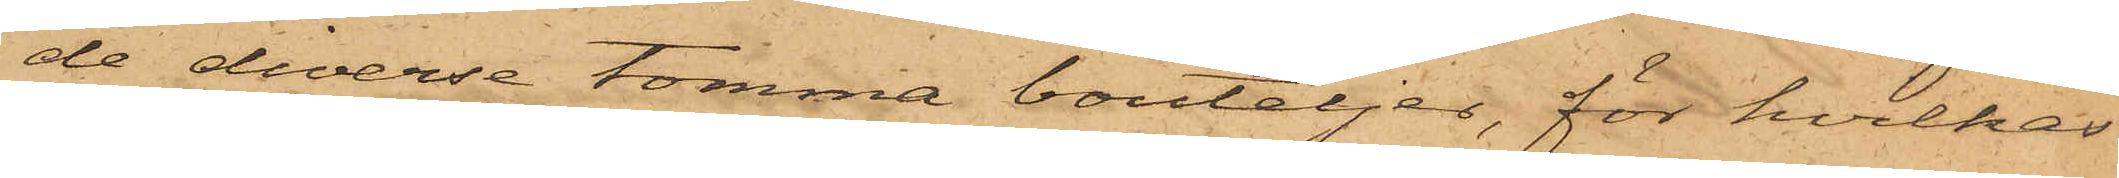de diverse tomma bouteljer, för hvilkas
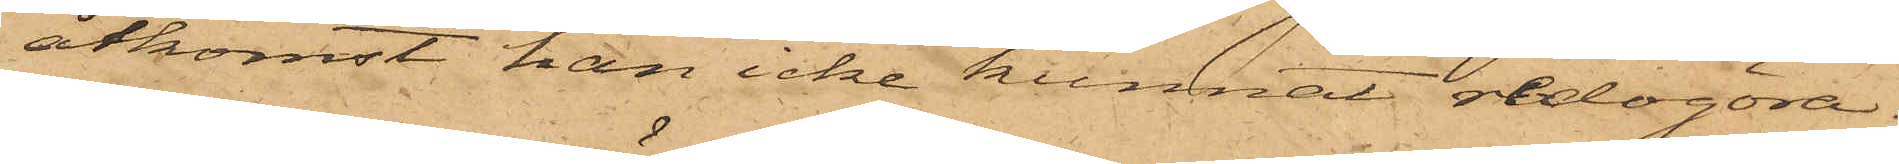åtkomst han icke kunnat redogöra.
